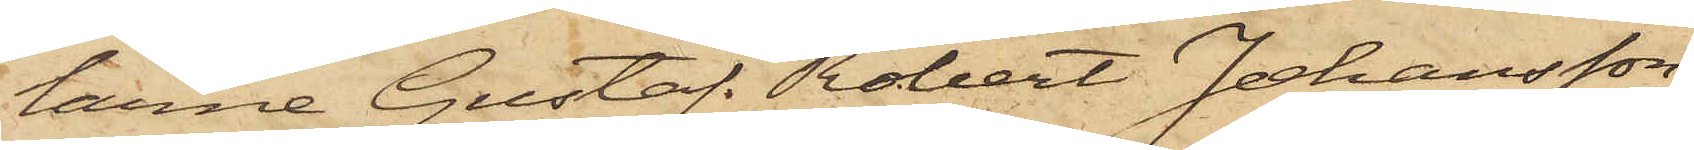larne Gustaf Robert Johansson,
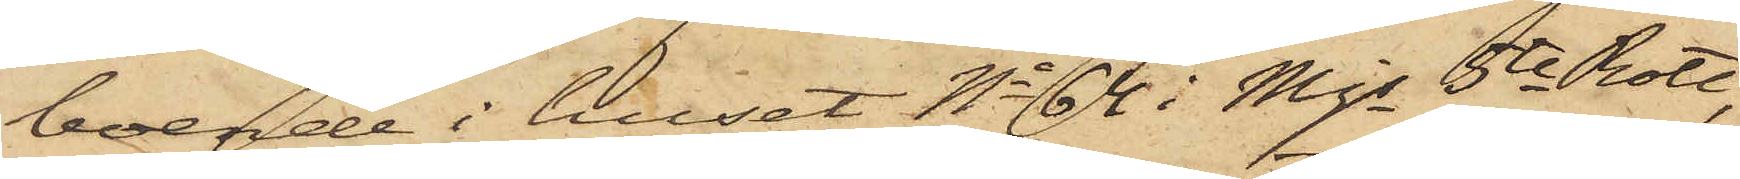boende i huset No 64 i Mjs 5te Rote,
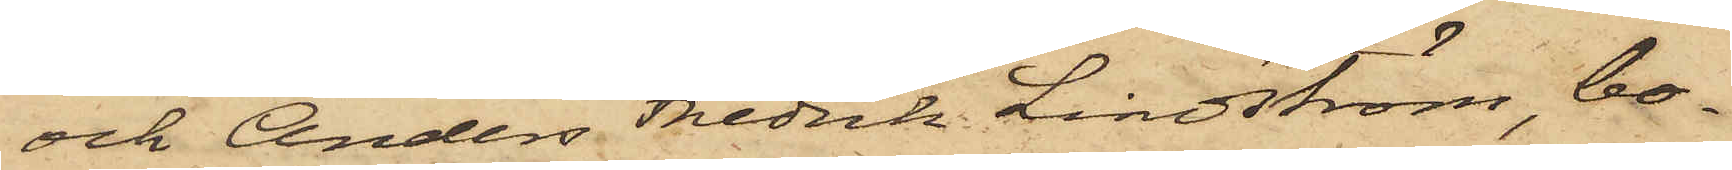och Anders Fredrik Lindström, bo¬
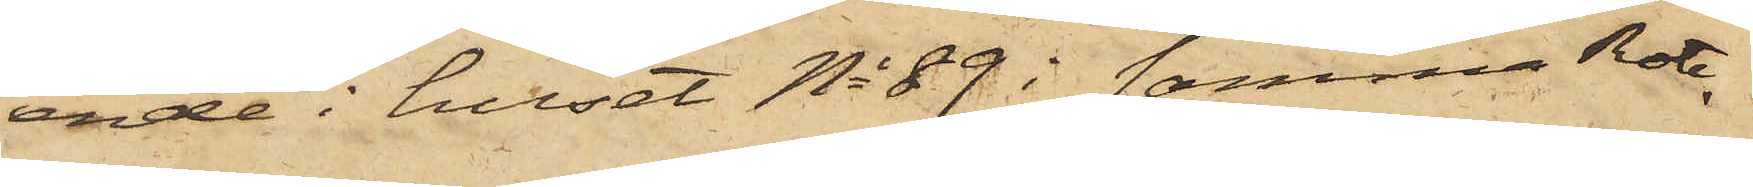ende i huset No 89 i samma Rote,
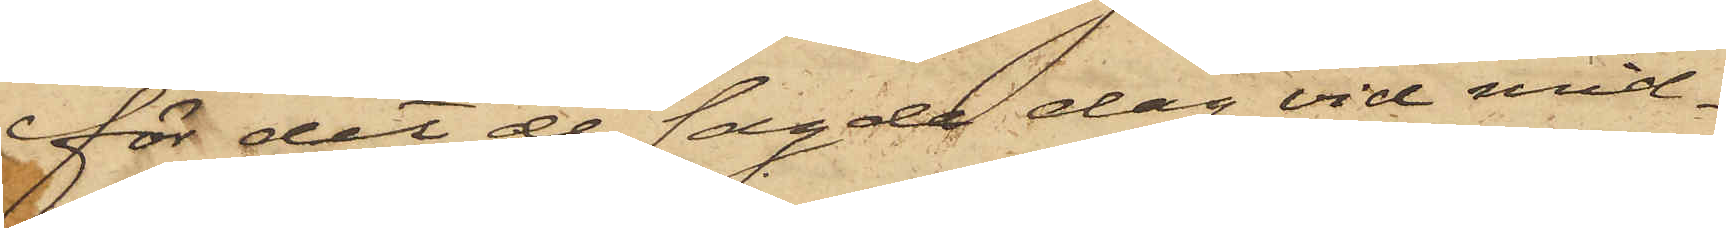för det de sagde dag vid mid¬
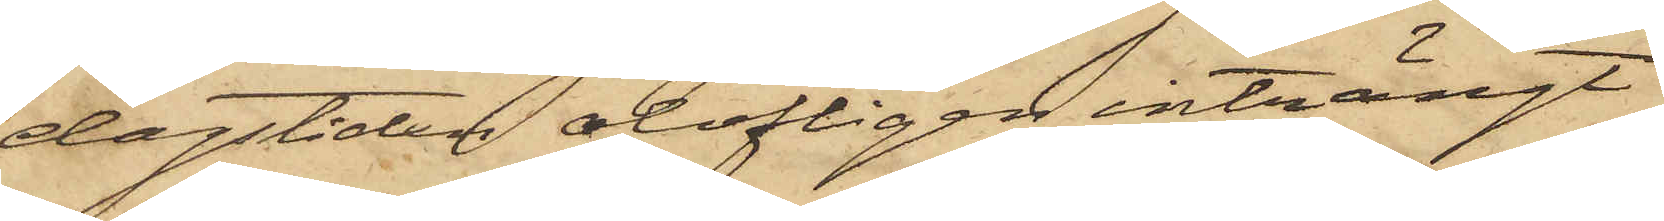dagstiden olofligen inträngt
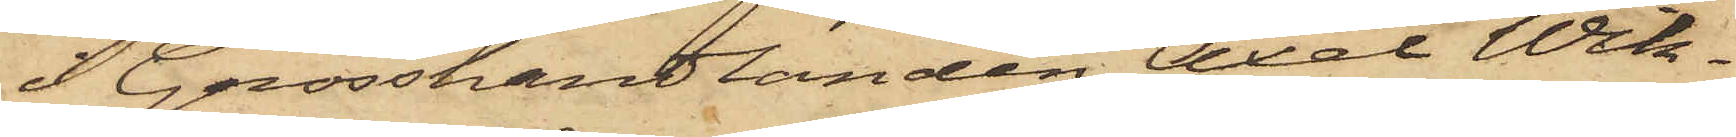i Grosshandlanden Axel Wik¬
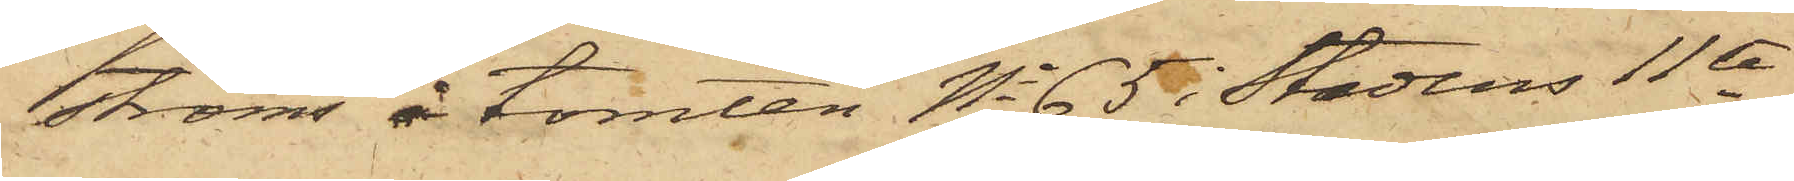ströms å tomten No 65 i Stadens 11te
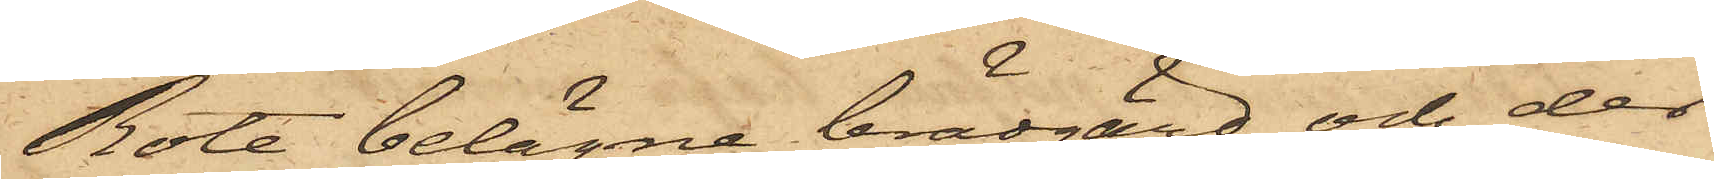Rote belägna brädgård och des
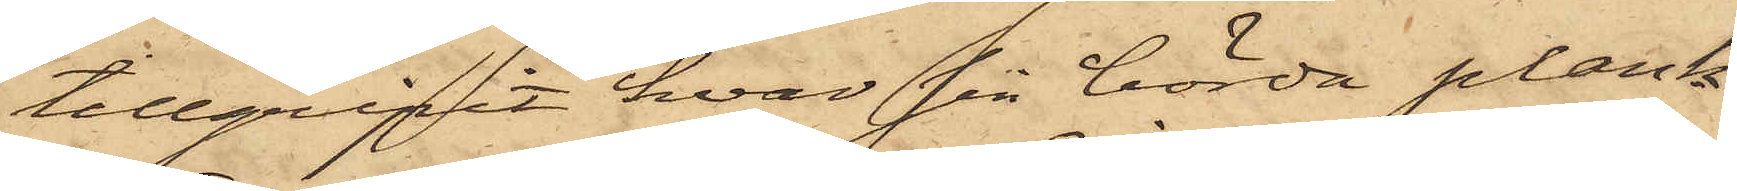tillgripit hvar sin börda plank¬
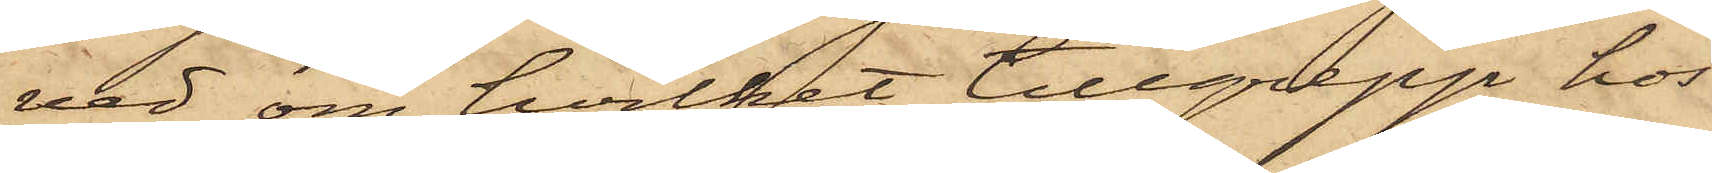ved, om hvilket tillgrepp hos
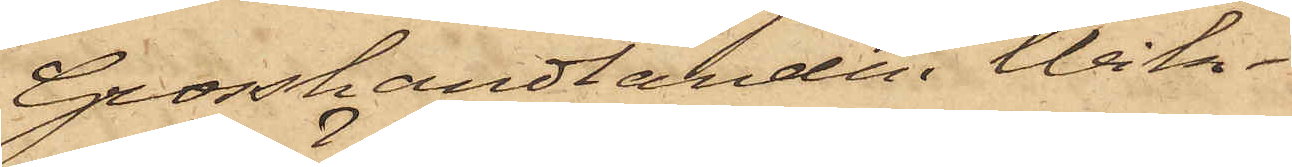Grosshandlanden Wik¬
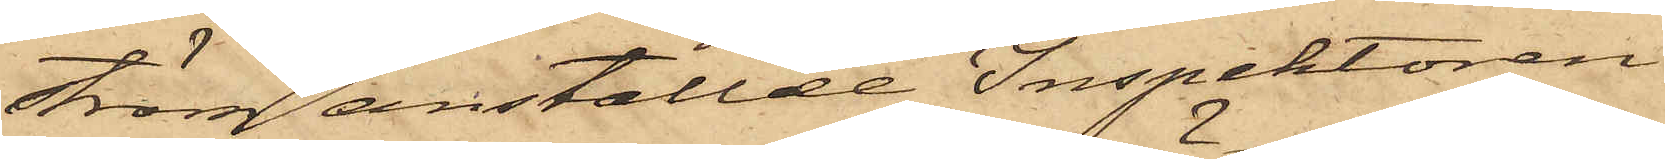ström anställde Inspektoren
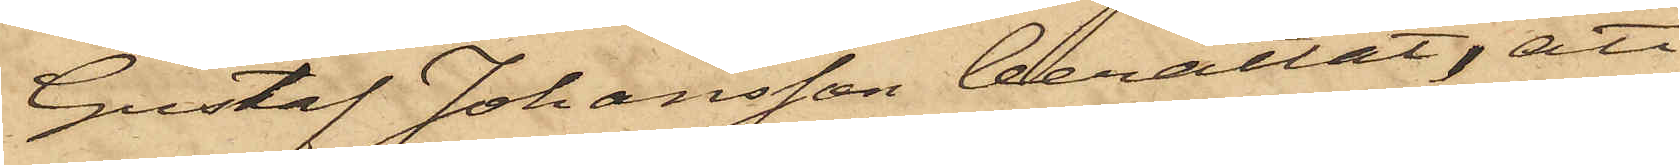Gustaf Johansson berättat, att
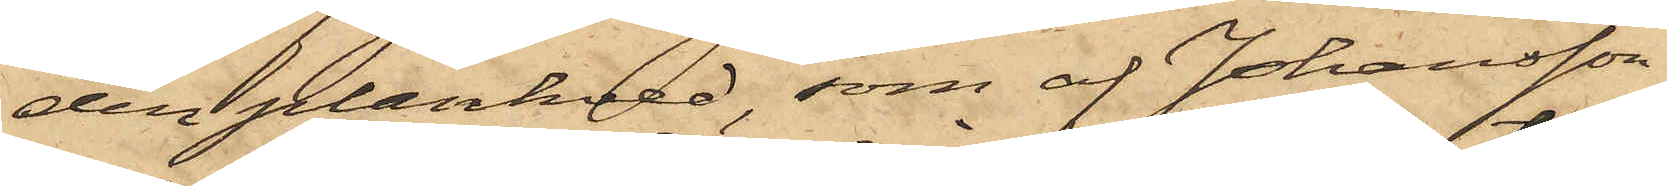den plankved, som af Johansson
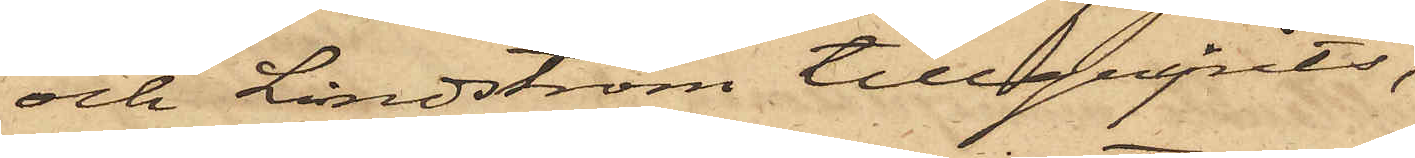och Lindström tillgripits,
